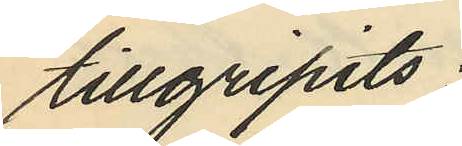tillgripits:
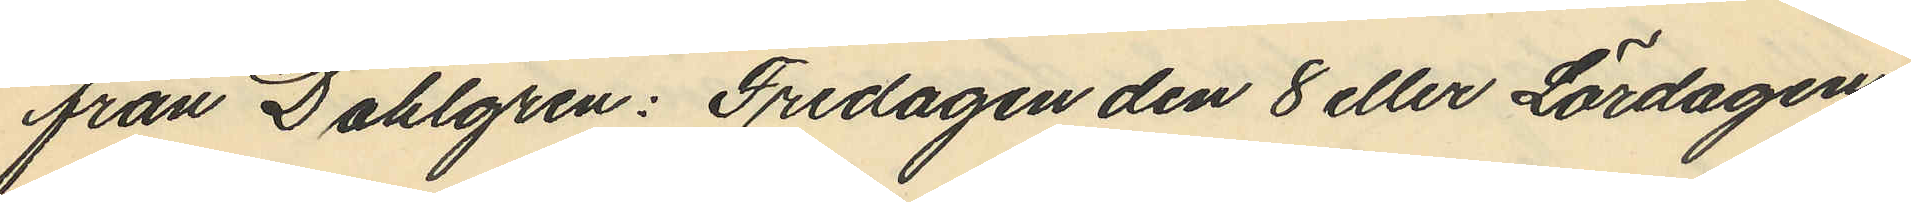från Dahlgren: Fredagen den 8 eller Lördagen
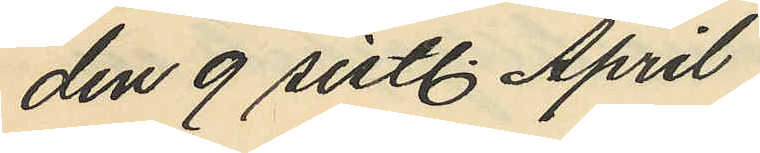den 9 sistl. April
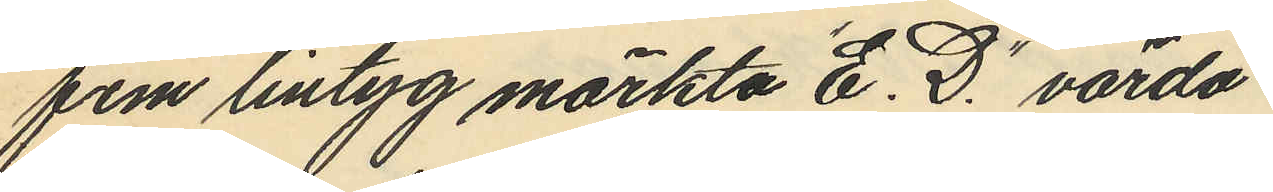fem lintyg märkta "E. D." värda
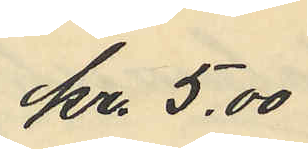kr 5.00
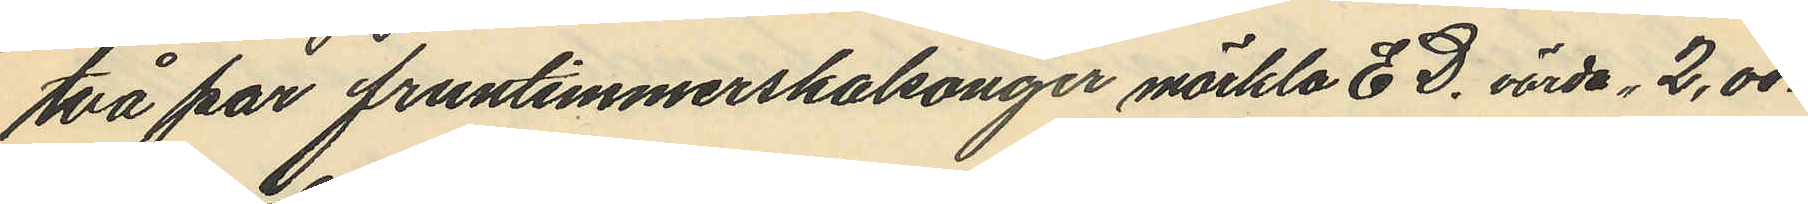två par fruntimmerskalsonger märkta E D. värda, 2,00.
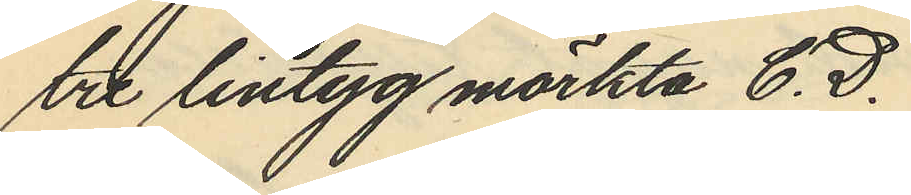tre lintyg märkta E. D.
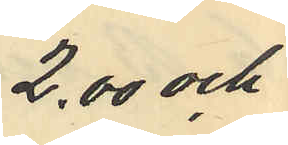2.00 och
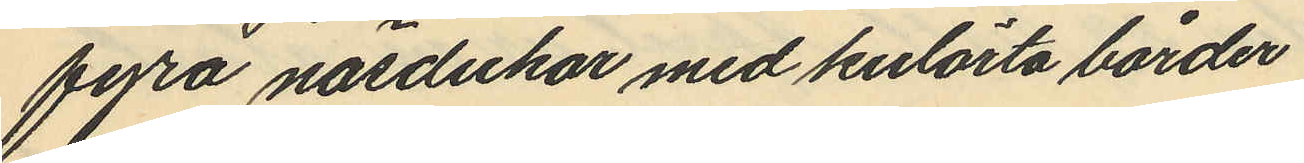fyra näsdukar med kulörta bårder
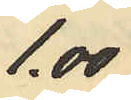1.00
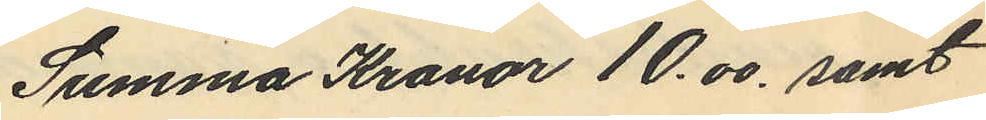Summa Kronor 10.00, samt
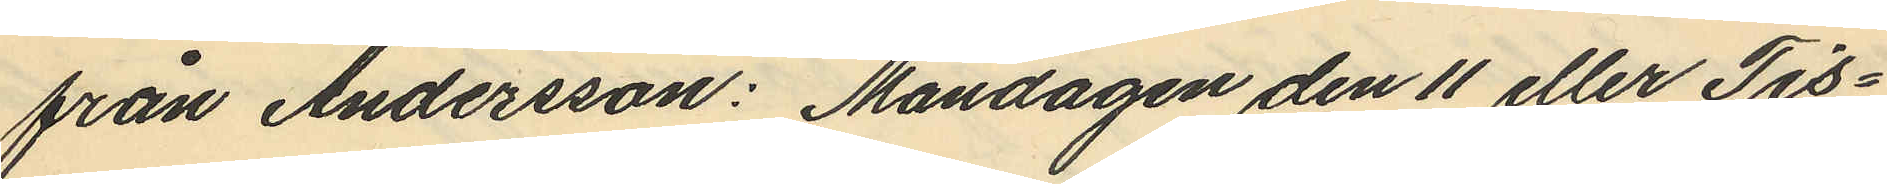från Andersson: Måndagen den 11 eller Tis¬
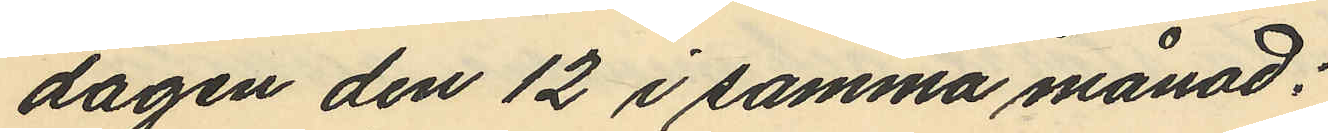dagen den 12 i samma månad;
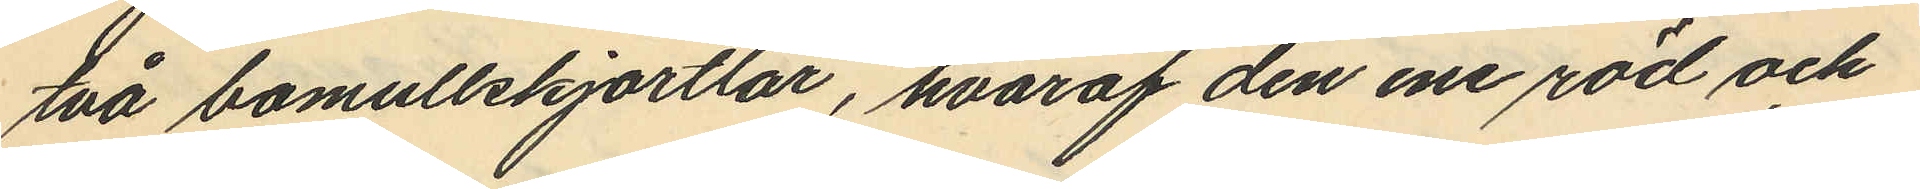två bomullskjortlar, hvaraf den ene röd och
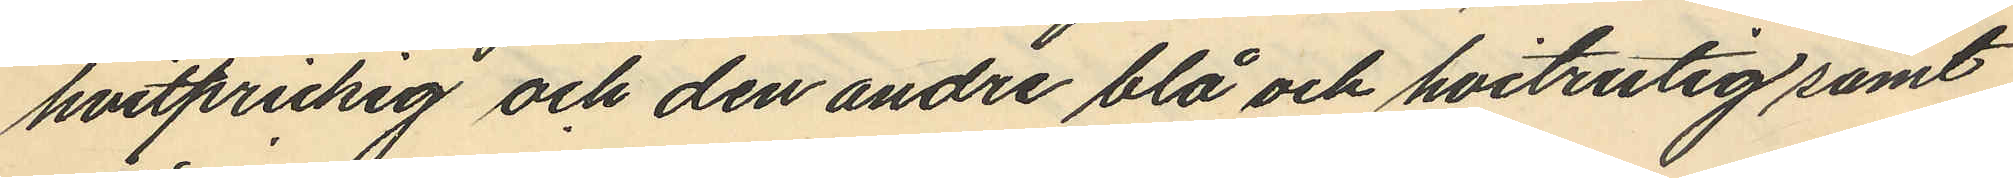hvitprickig och den andre blå och hvitrutig samt
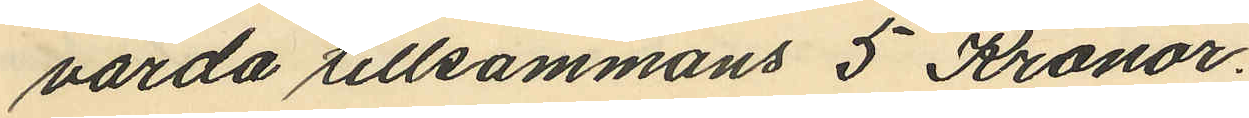värda tillsammans 5 Kronor.
